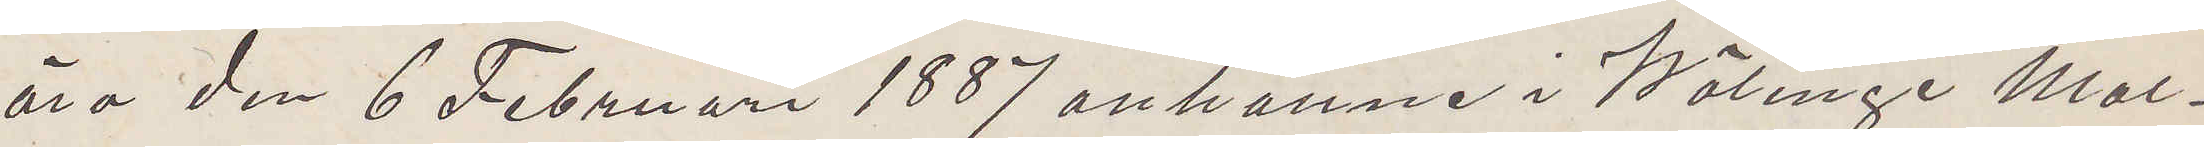äro den 6 Februari 1887 anhållne i Wälinge Mal¬
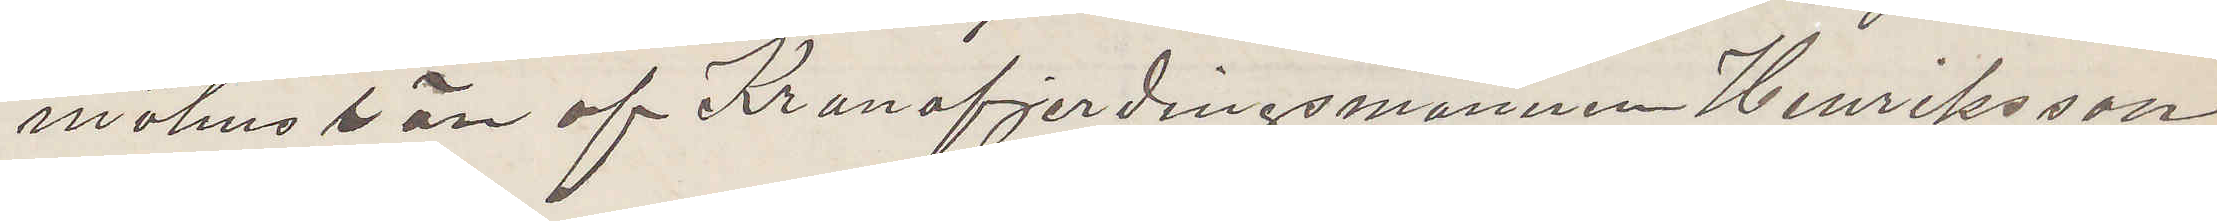möhus  län af Kronofjerdingsmannen Henriksson.
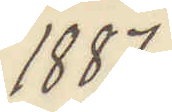1857
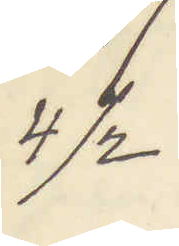4/2
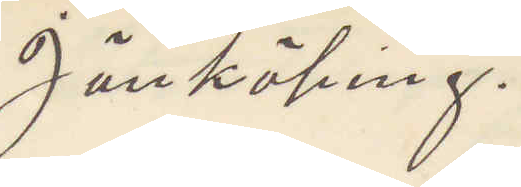Jönköping.
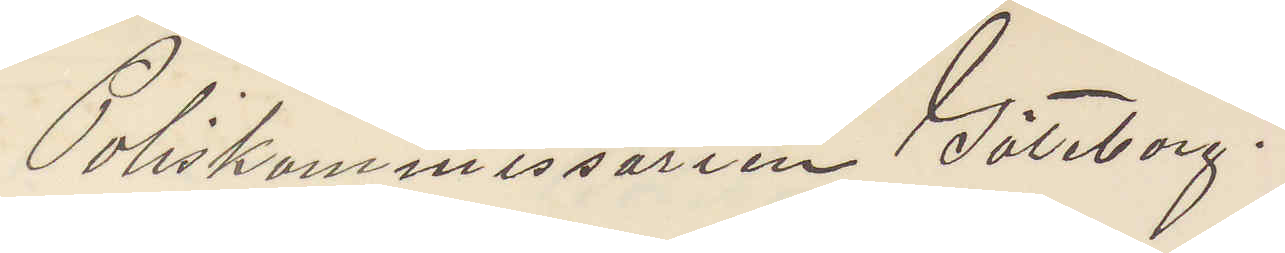Poliskommissarien Göteborg.
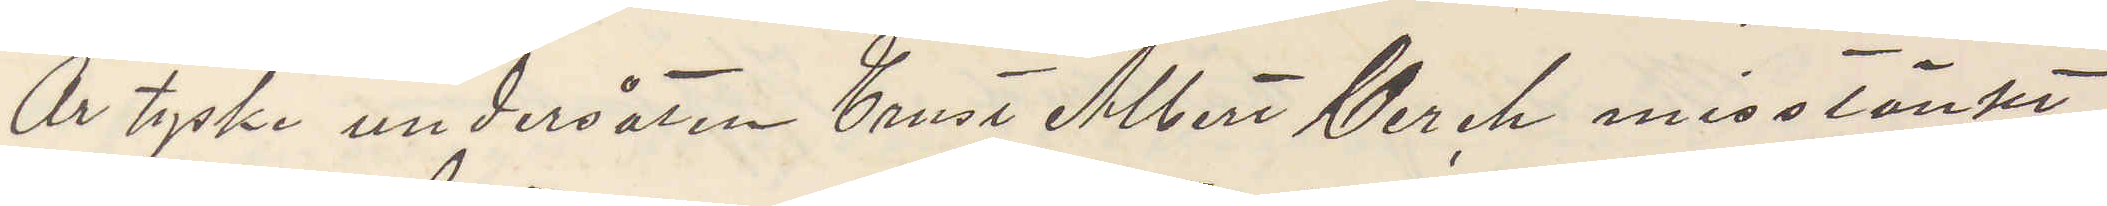Är tyske undersåten Ernst Albert Gerch misstänkt
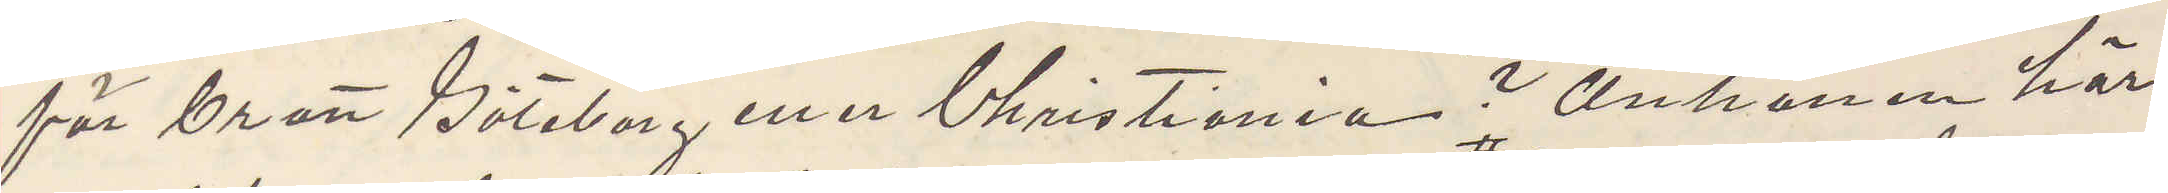för brott Göteborg eller Christiania? Anhållen här,
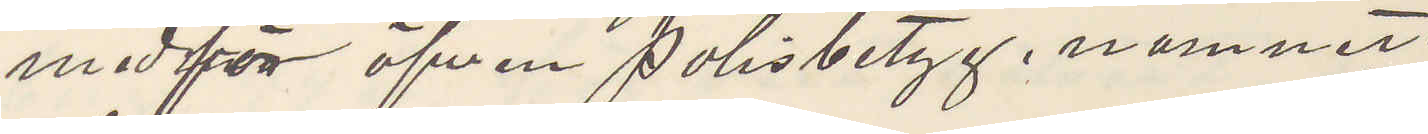medför äfven Polisbetyg, namnet
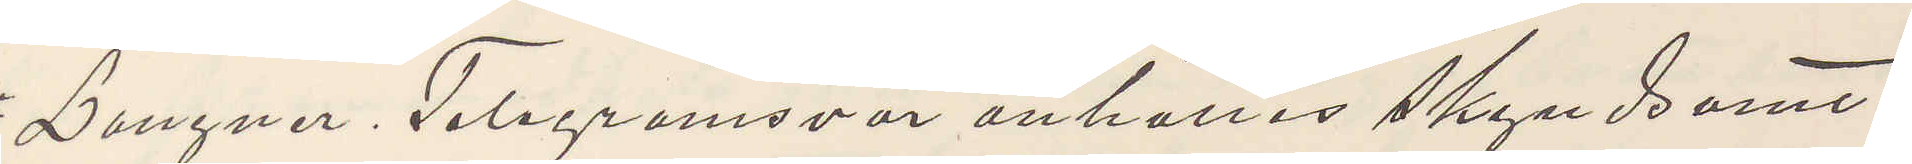Langner, Telegramsvar anhålles skyndsamt.
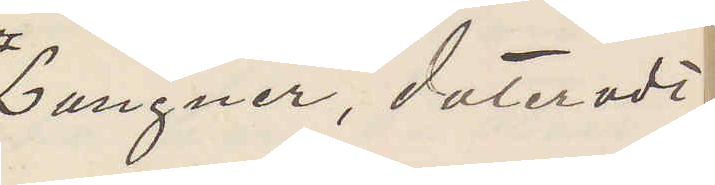Lagner, daterad i
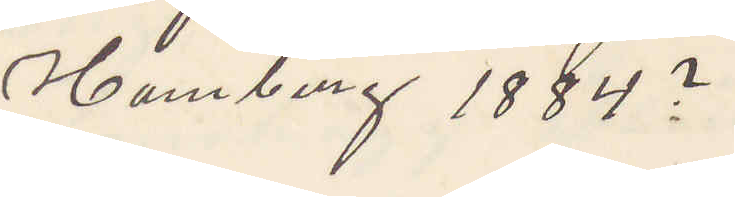Hamburg 1884?
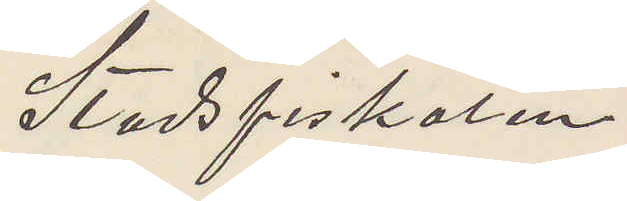Stadsfiskalen
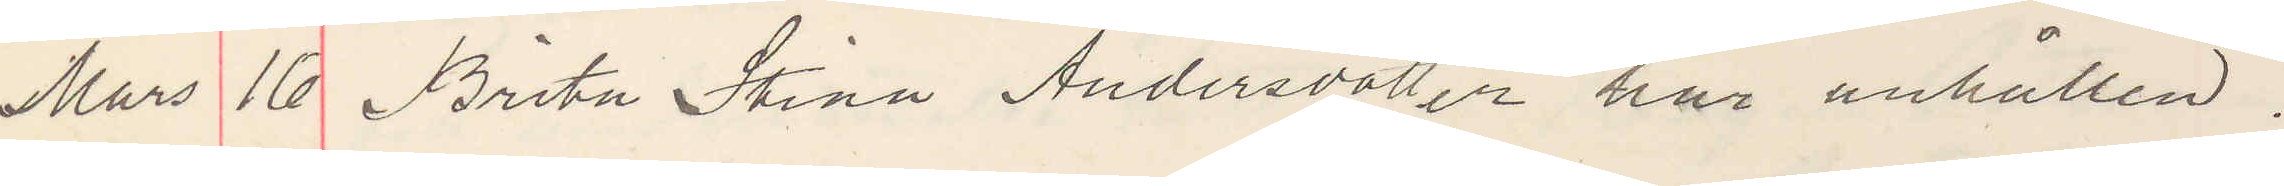Mars 16 Brita Stina Andersdotter här anhållen.
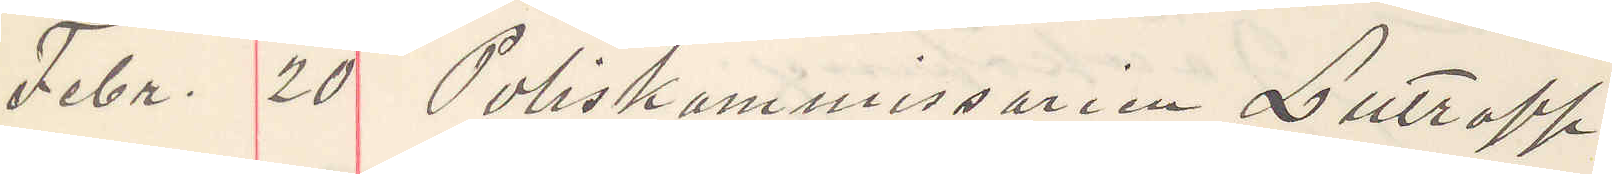Febr. 20 Poliskommissarien Lutropp
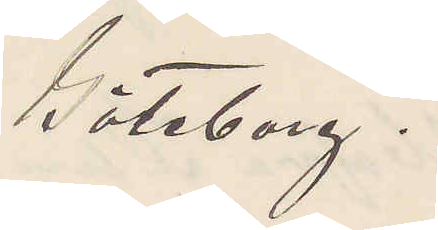Göteborg.
